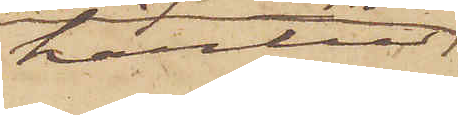härtill
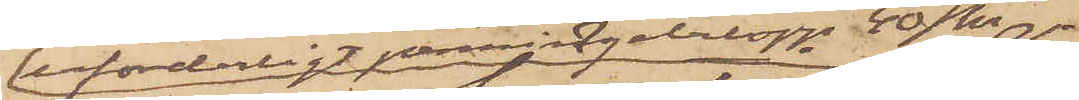erforderligt penningebelopp 40 kr 
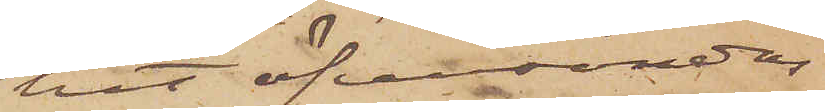hit öfversändas,
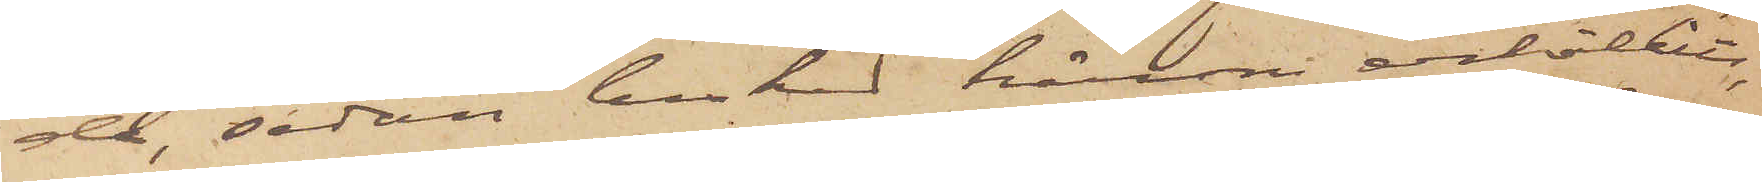då, sedan besked härom erhållits,
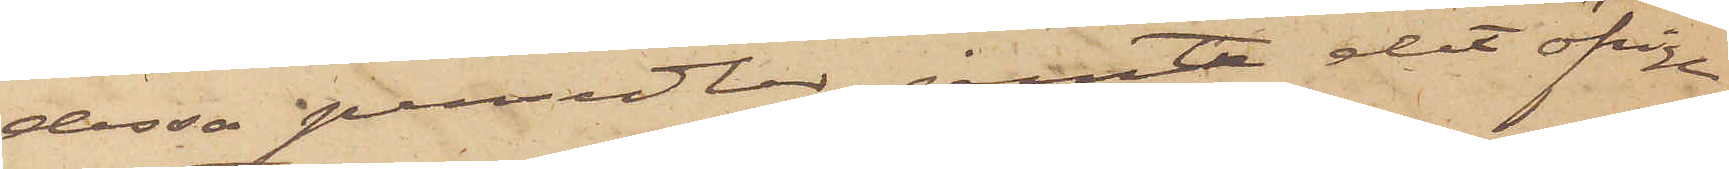dessa persedlar jemte det öfriga
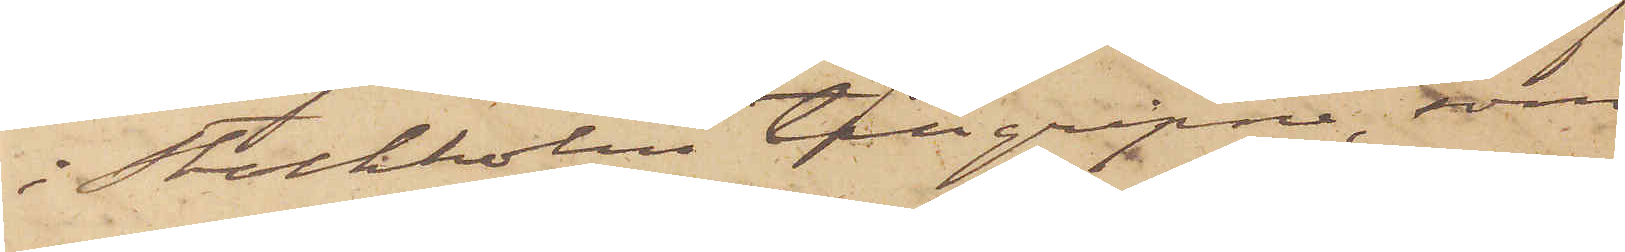i Stockholm tillgripne, som
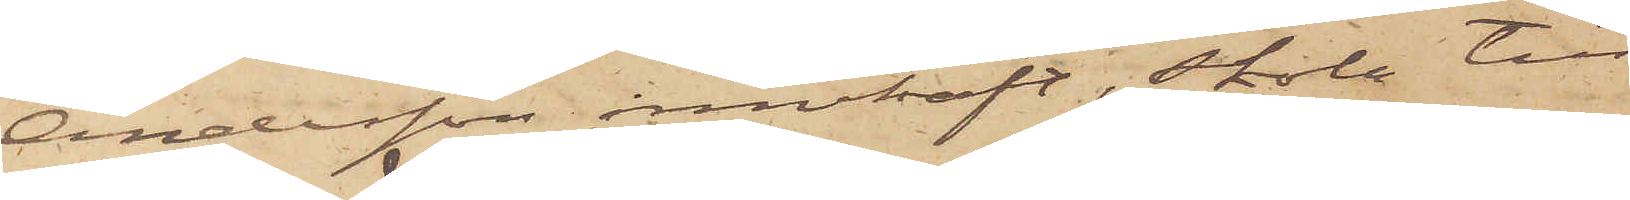Andersson innehaft, skola till
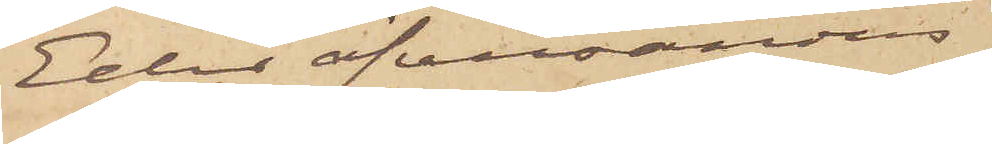Eder öfversändas.
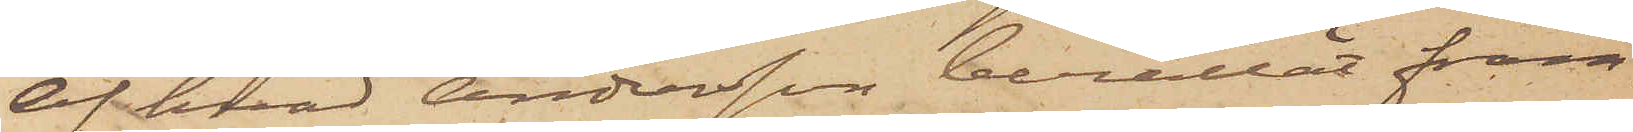Af hvad Andersson berättat fram¬
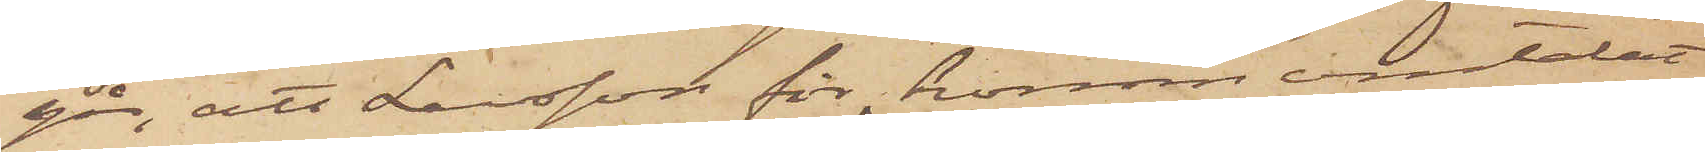går, att Larsson för honom omtalat,
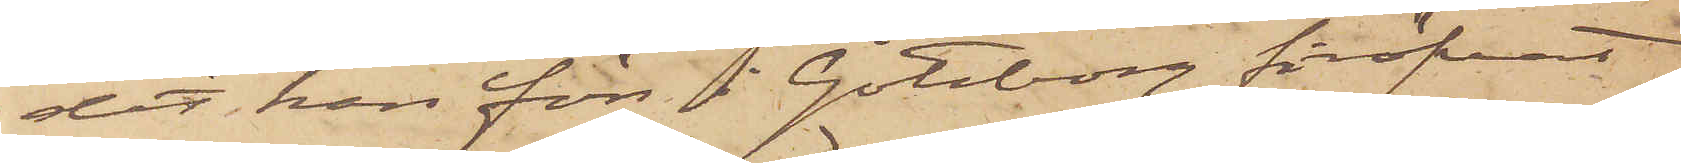det han förr i Göteborg föröfvat
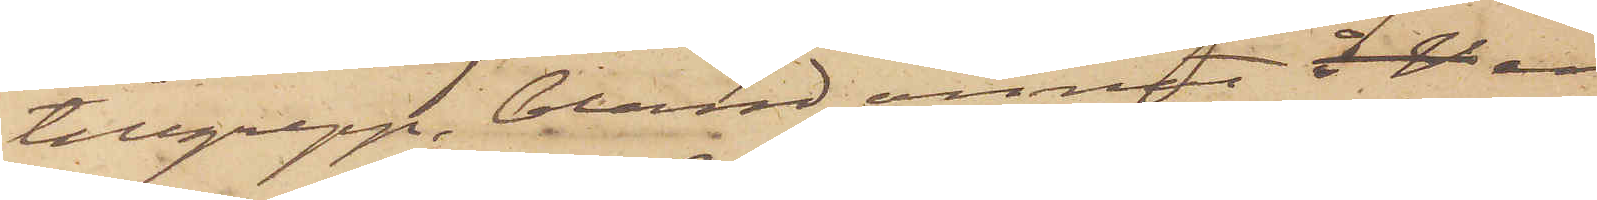tillgrepp, bland annat å V en
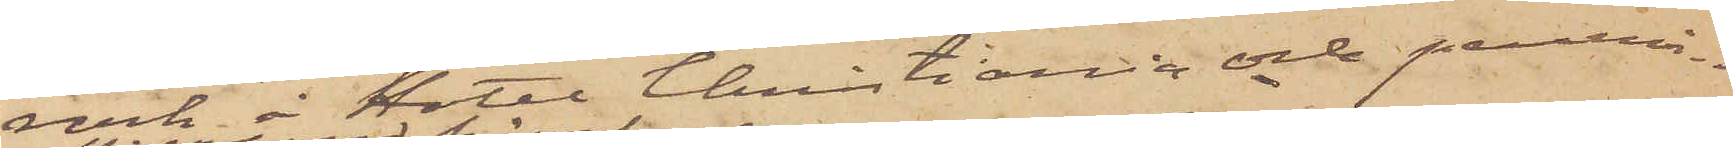rock å Hotel Christiania och pennin¬
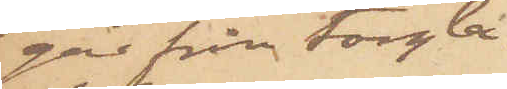gar från torg¬
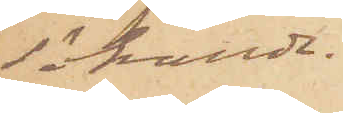besökande.
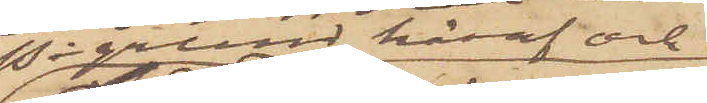På grund häraf och
